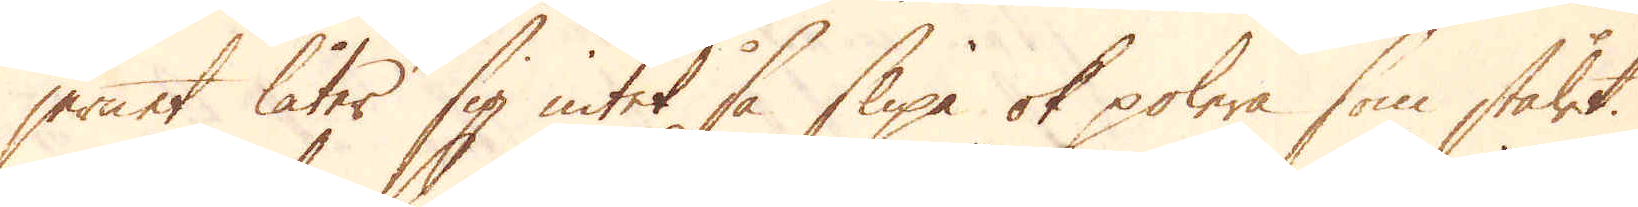jernet låter sig intet så slipa ok polera som stålet.
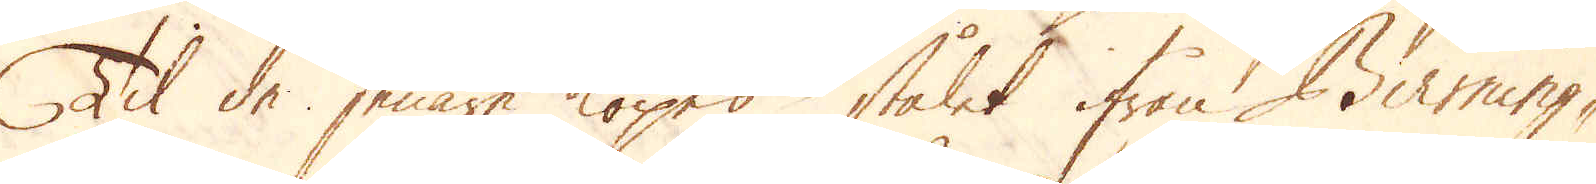Til de senare köpes stålet ifrån Birming-
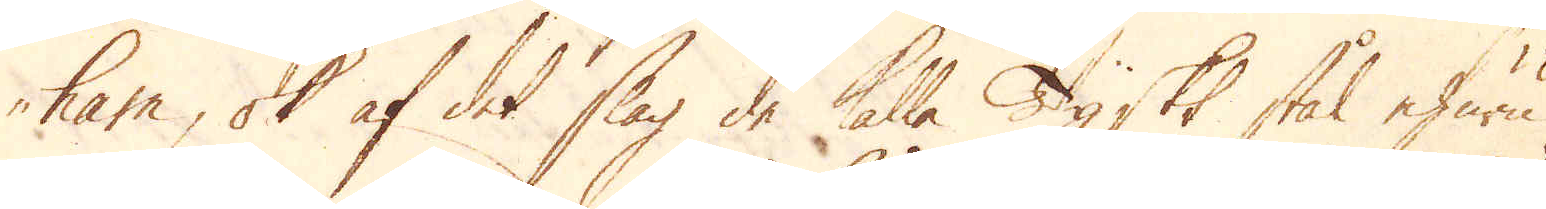ham, ok af det slag de kalla Tyskt stål ehuru
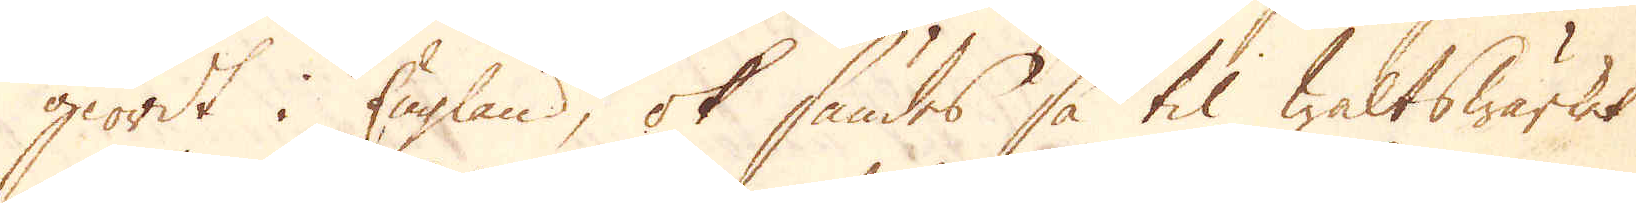giordt i England, ok sändes så til Waltswärket
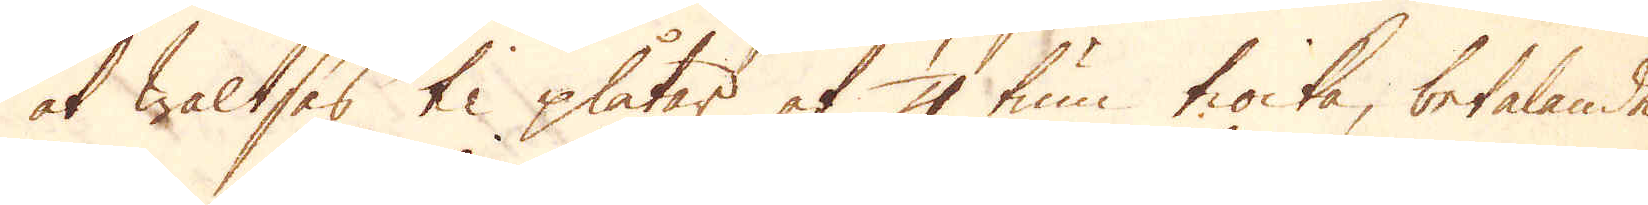at waltsas til plåtar af 1/4 tum tiocka, betalande
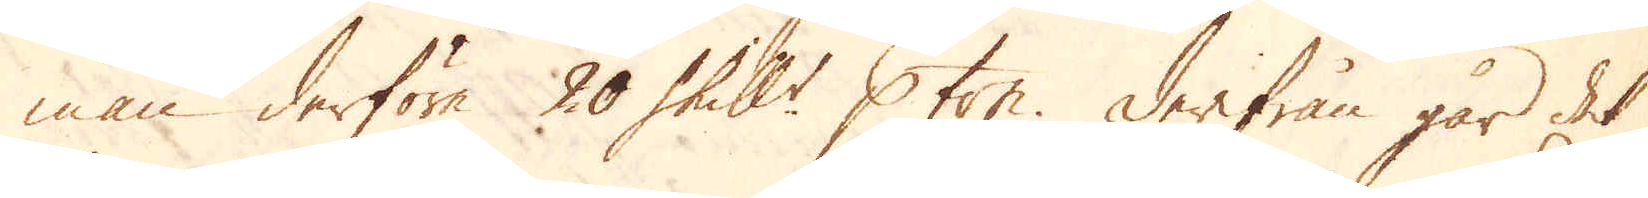man derföre 20 Skill:r p ton. Derifrån går det
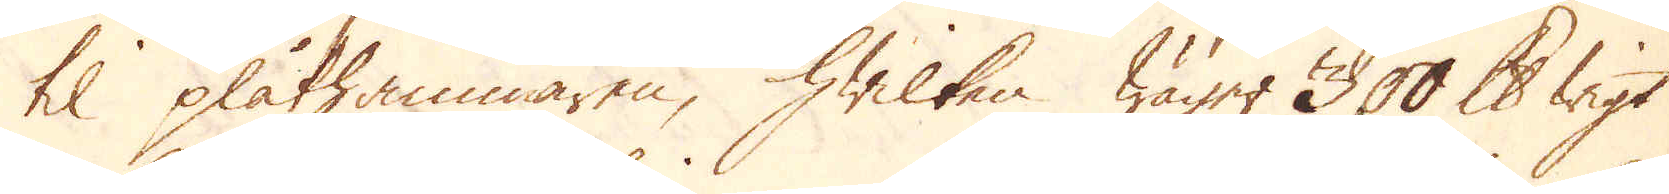til plåthammaren, hwilken wäger 300 skålpunds wigt
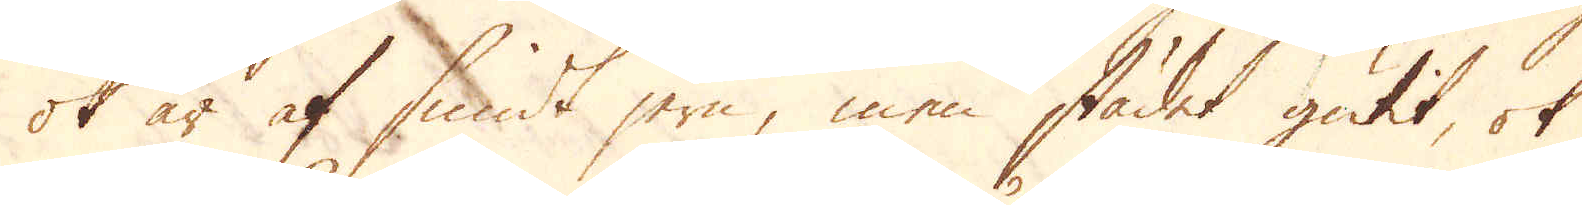ok är af smidt jern, men städet gutit, ok
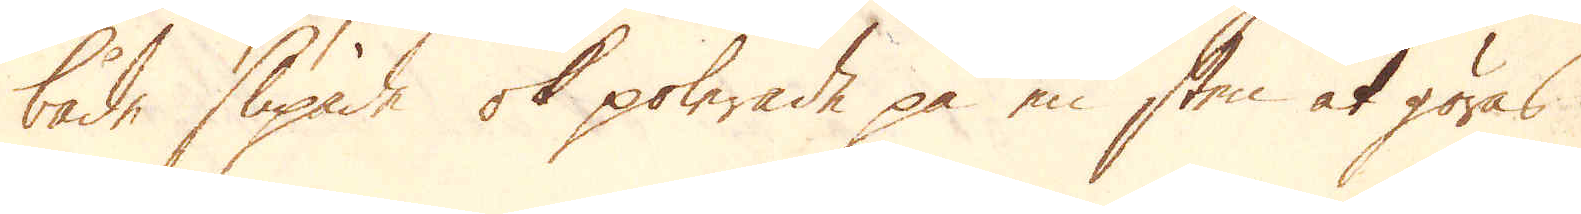både slipade ok polerade på en sten at göras
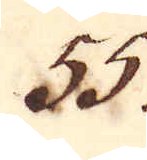55.
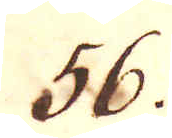56.
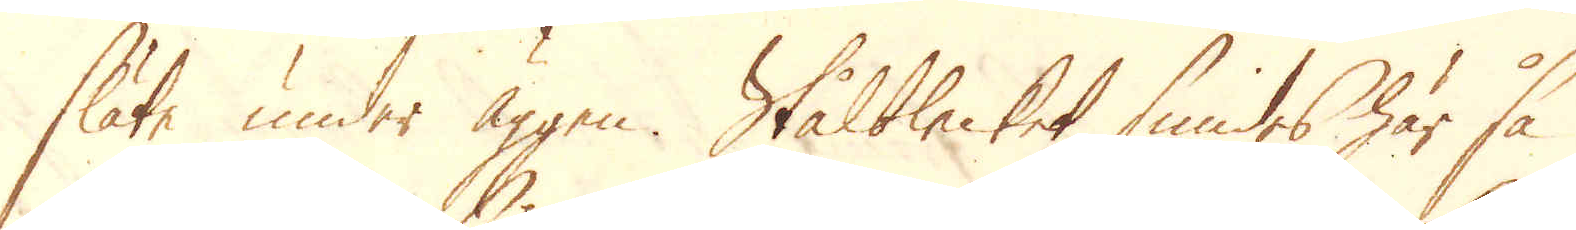släta under äggen. Stålblecket smides här så
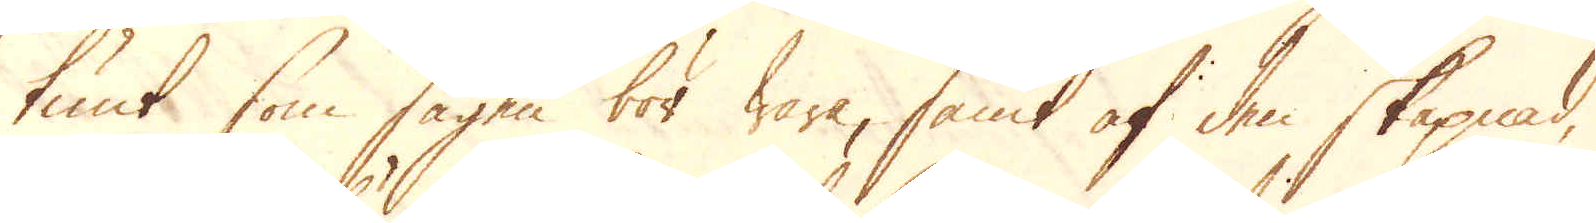tunt som sägen bör wara, samt af den skapnad,
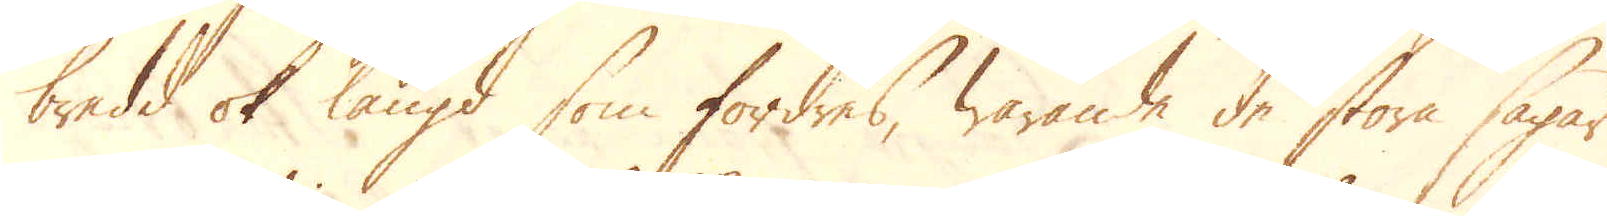bredd ok längd som fordras, warande de stora sågar
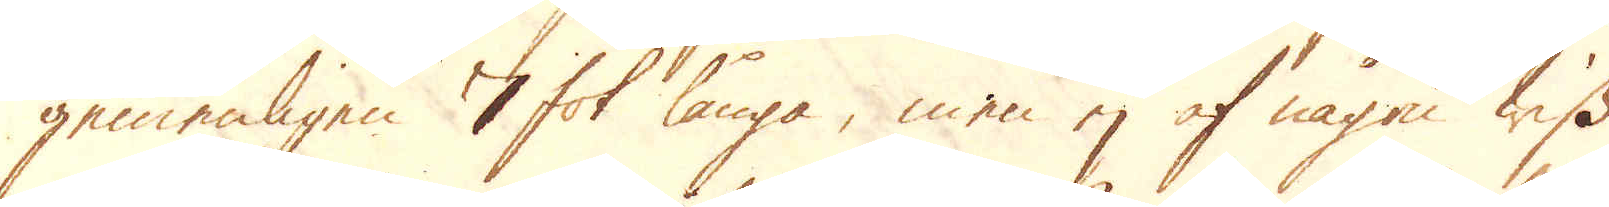gemenligen 7 fot långa, men ej af någon wiss
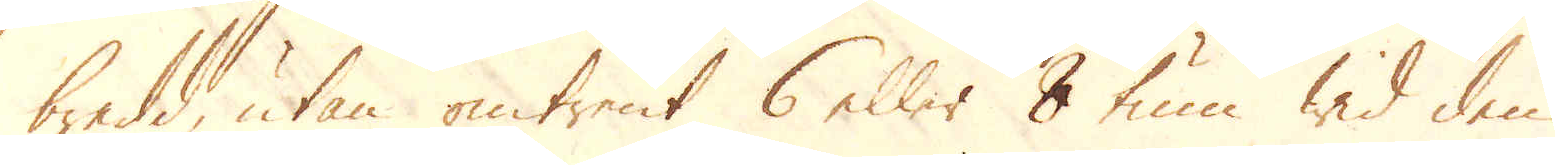bredd, utan omtrent 6 eller 8 tum wid den
